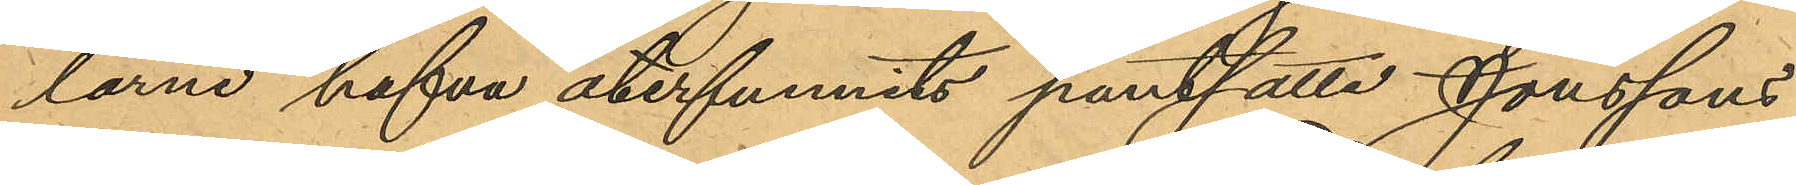larne hafva återfunnits pantsatta Jonssons
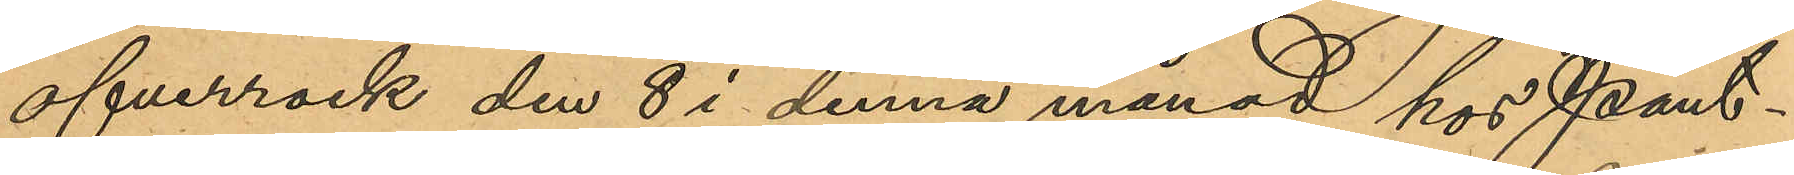öfverrock den 8 i denna månad hos Pant¬
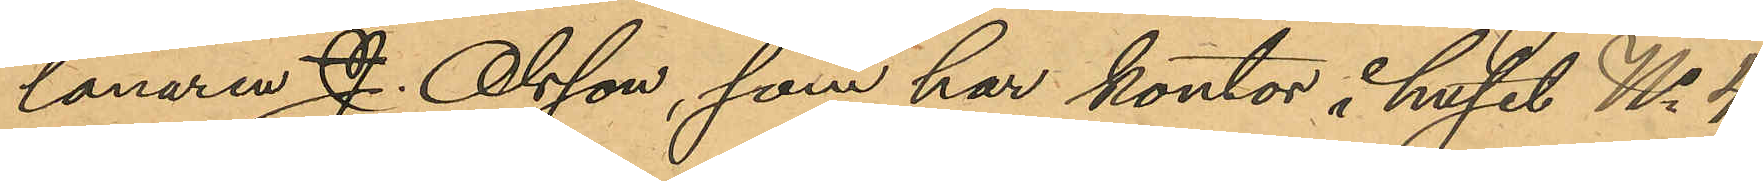lånaren J. Olsson, som har kontor i huset No 4
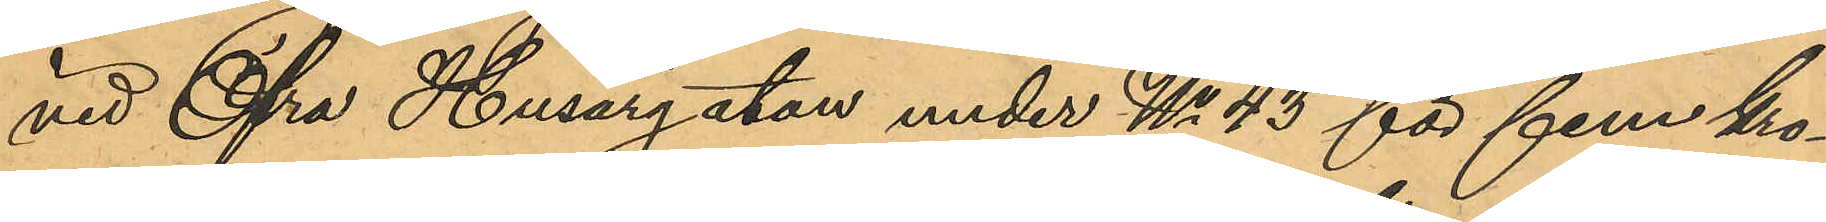vid Öfra Husargatan under No 43 för fem ko¬
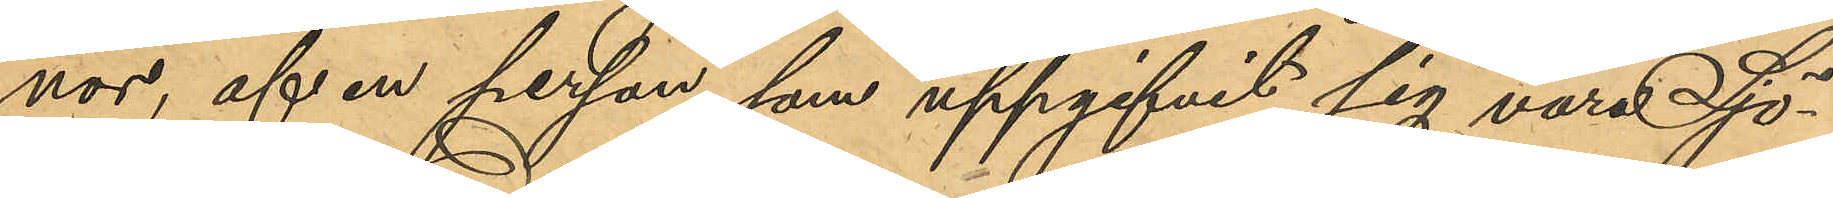nor, af en person som uppgifvit sig vara Sjö¬
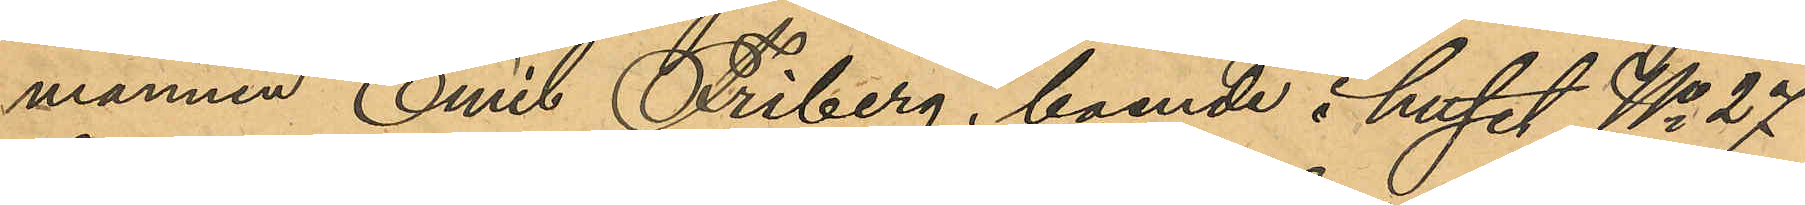mannen Emil Friberg, boende i huset No 27
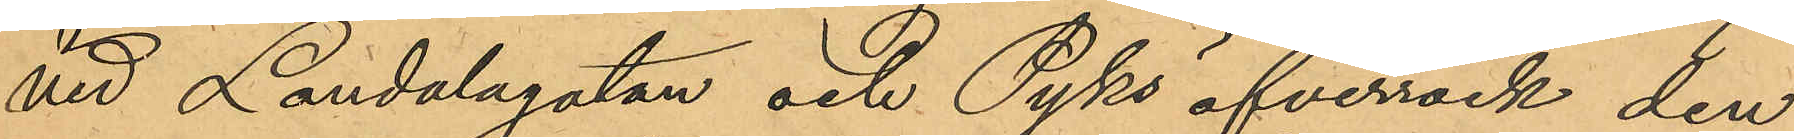vid Landalagatan och Pyks öfverrock den
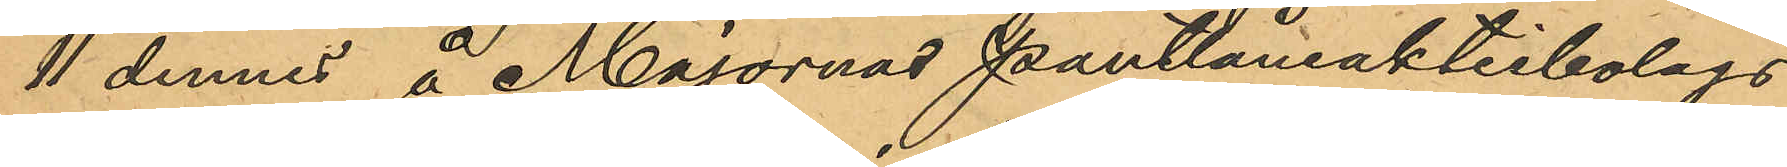11 dennes å Majornas Pantlåneaktiebolags
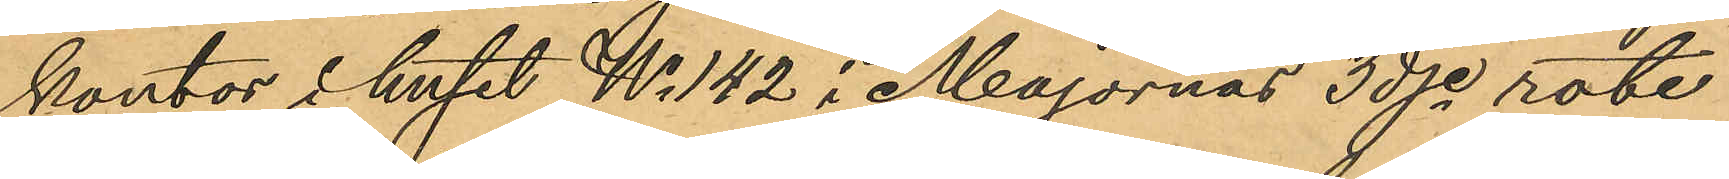kontor i huset No 142 i Majornas 3dje rote
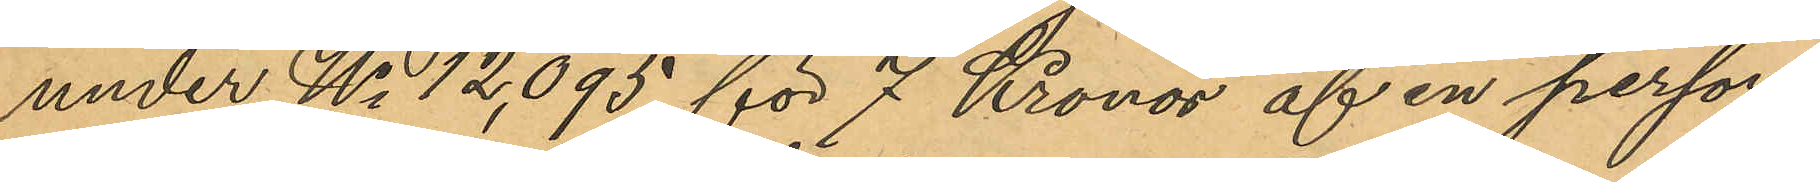under No 12,095 för 7 Kronor af en person
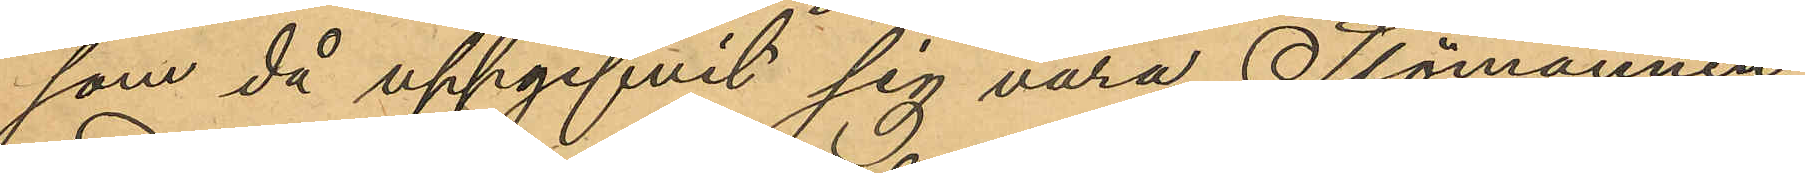som då uppgifvit sig vara Sjömannen
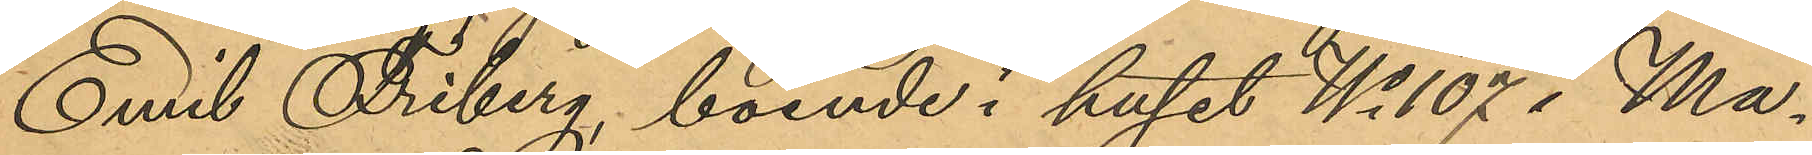Emil Friberg, boende i huset No 107 i Ma¬
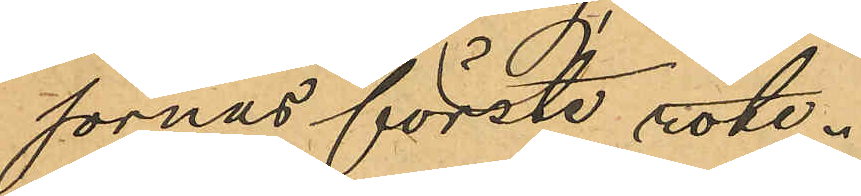sornas förste rote.
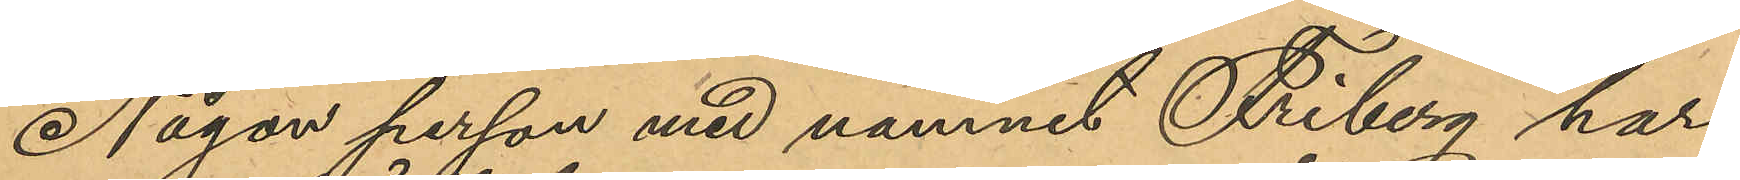Någon person med namnet Friberg har
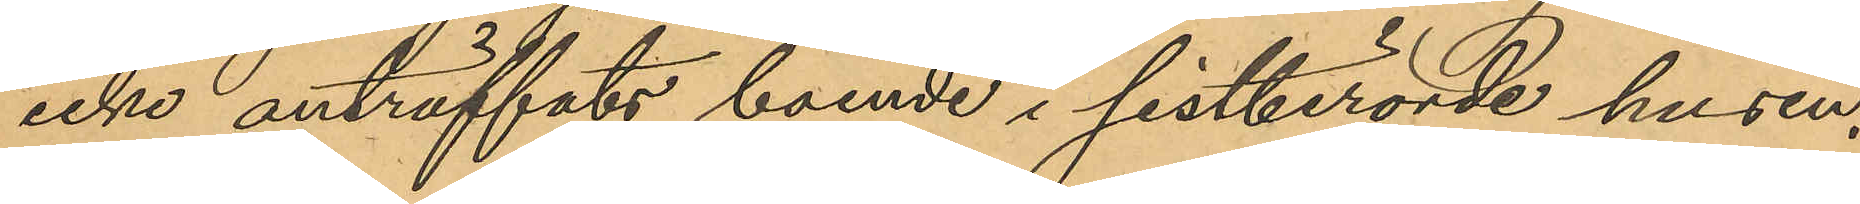icke anträffats boende i sistberörde husen.
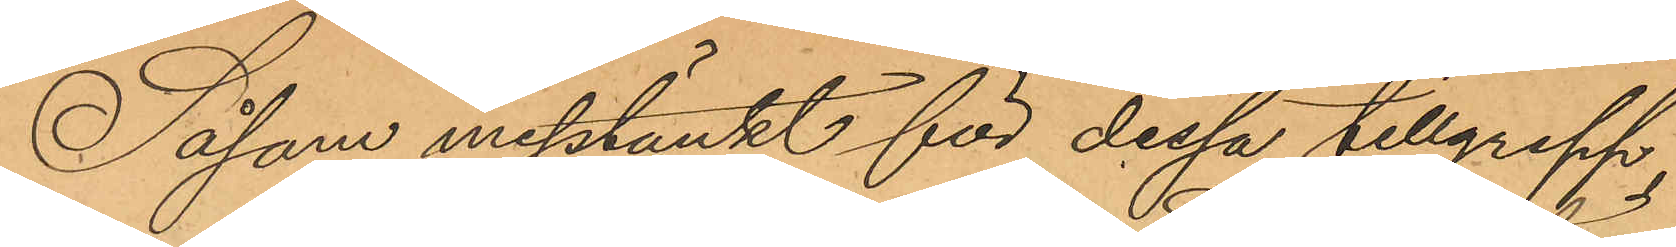Såsom misstänkt för dessa tillgrepp
